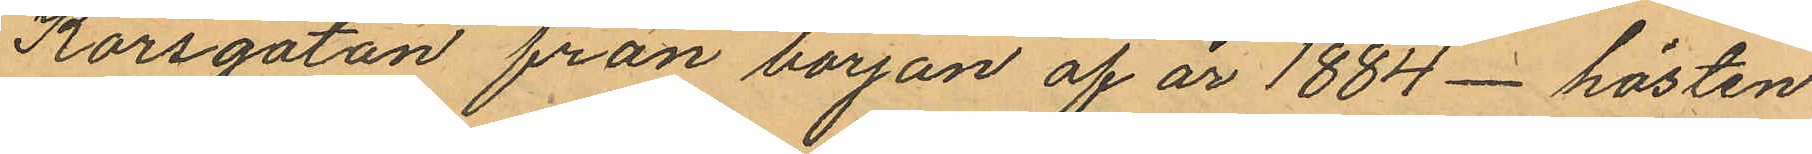Korsgatan från början af år 1884 - hösten
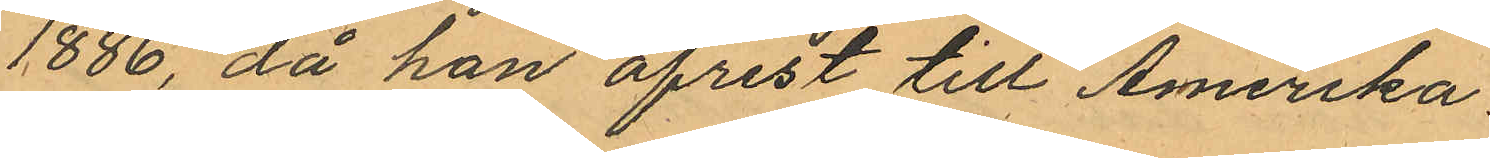1886, då han afrest till Amerika
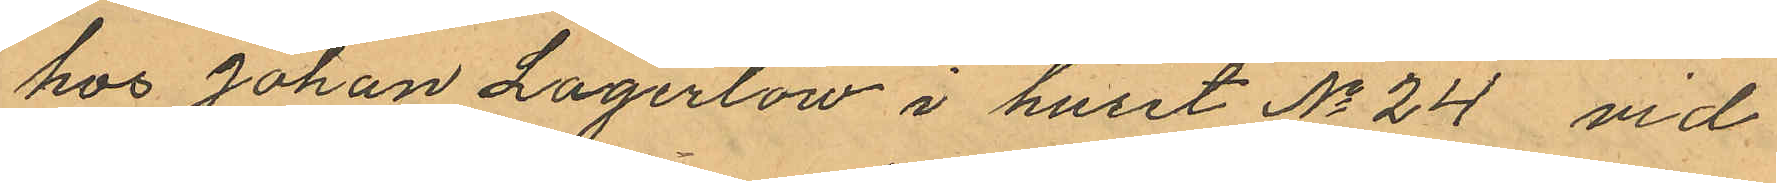hos Johan Lagerlöw i huset No 24 vid
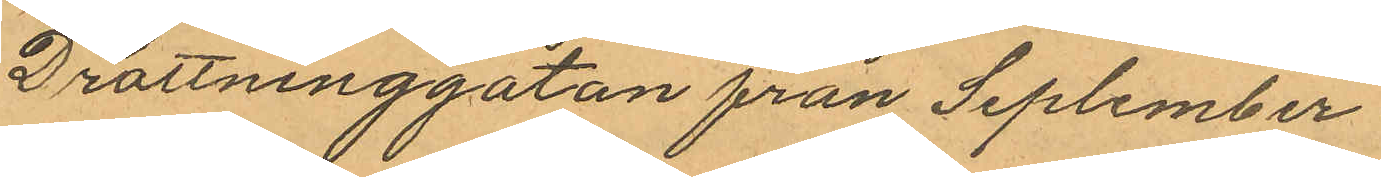Drottninggatan från September
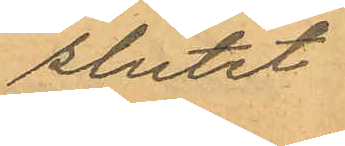slutet
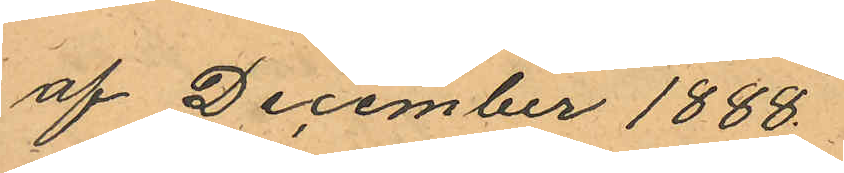af December 1888.
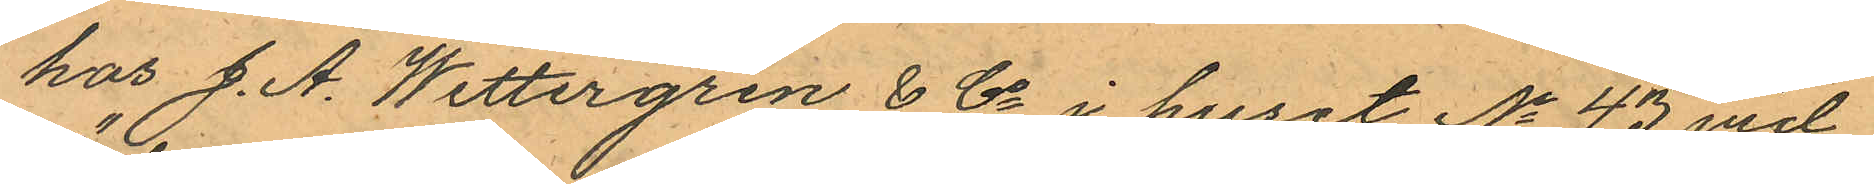hos J. A. Wettergren & Co i huset No 43 vid
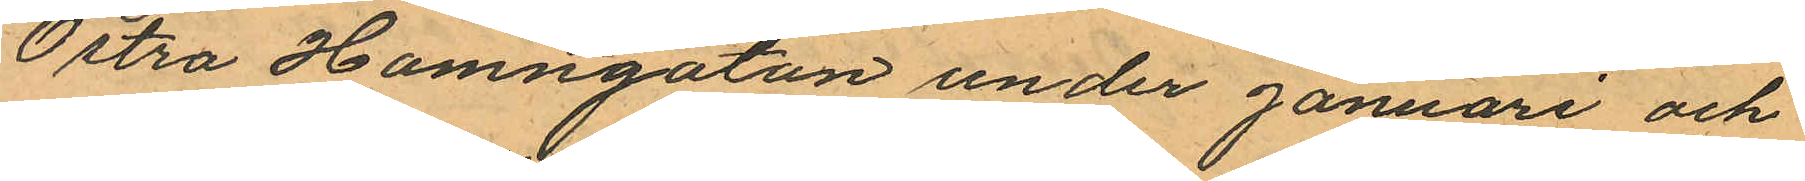Östra Hamngatan under januari och
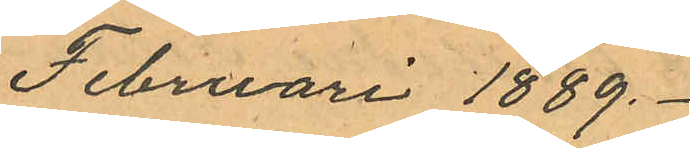Februari 1889.
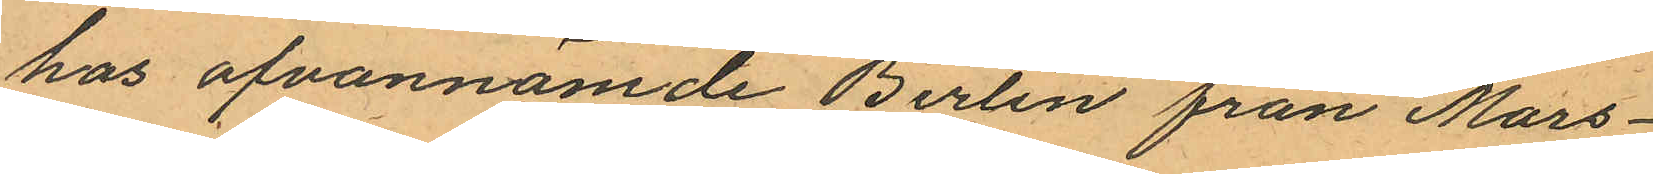hos ofvannämde Berlin från Mars -
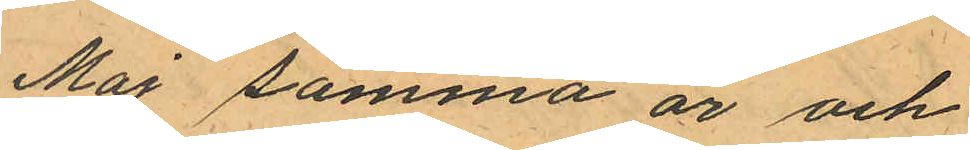Maj samma år och
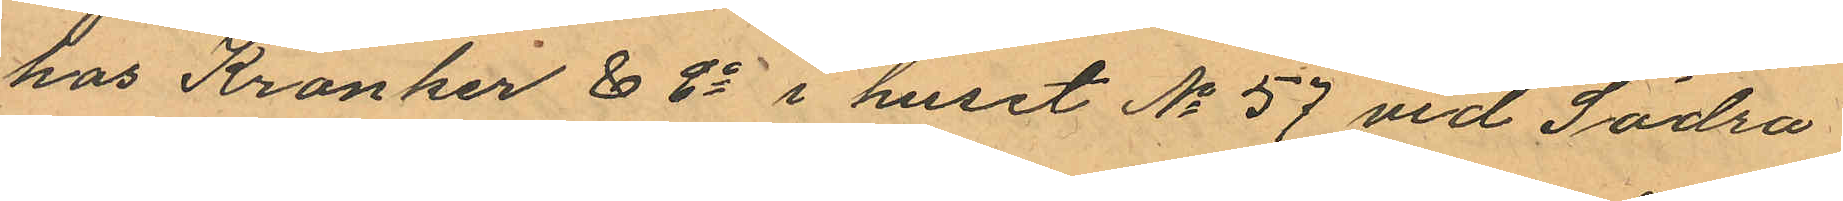hos Kronher & Co i huset No 57 vid Södra
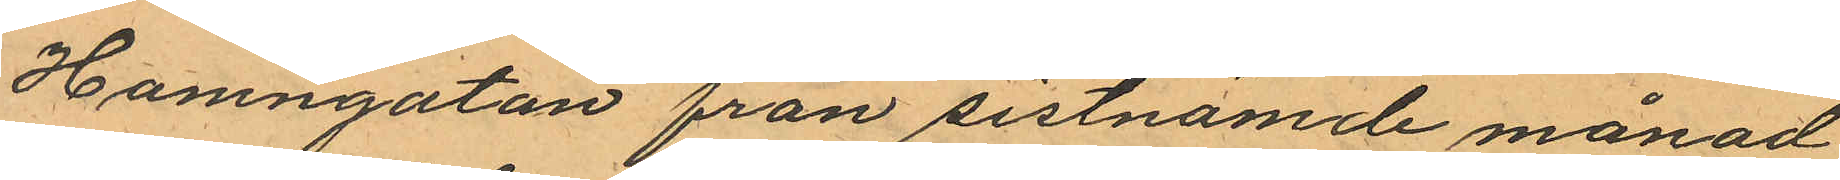Hamngatan från sistnämde månad
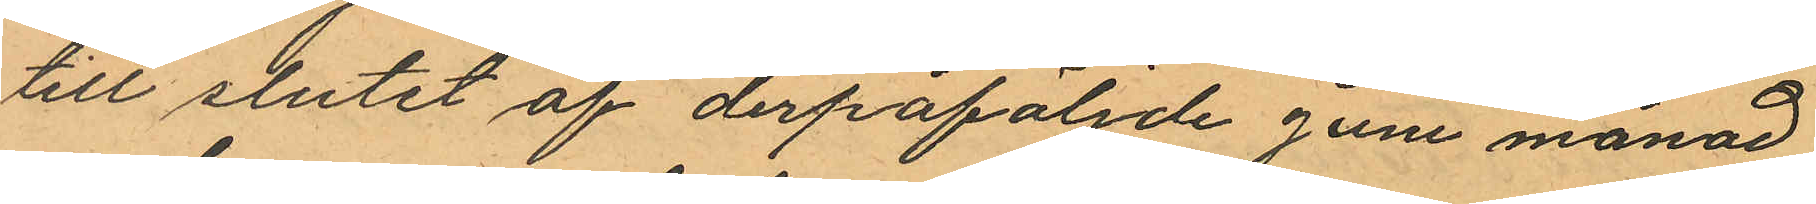till slutet af derpåföljde Juni månad
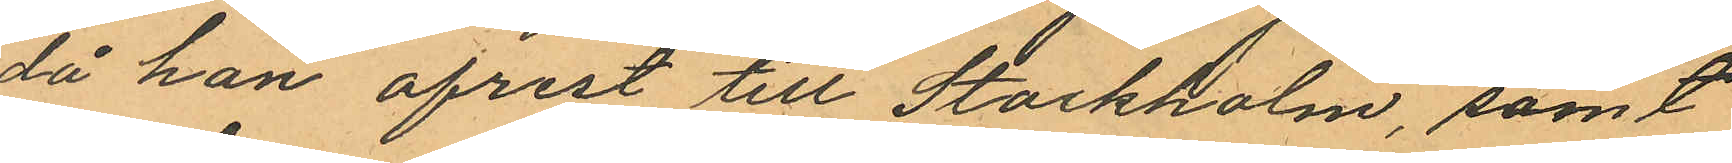då han afrest till Stockholm, samt
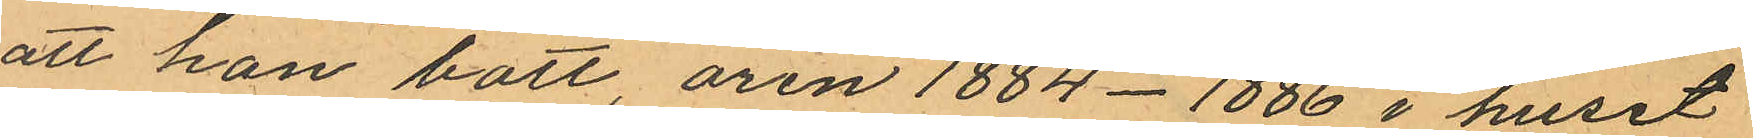att han bott, åren 1884 - 1886 i huset
